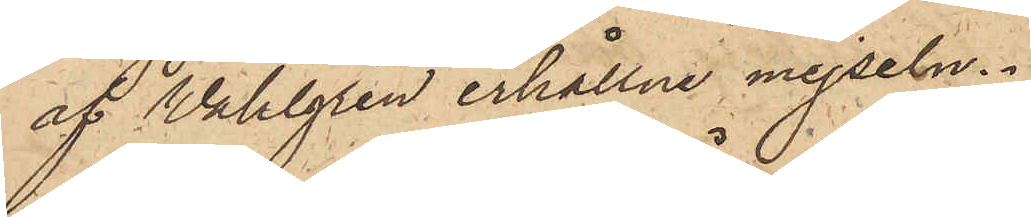af Wahlgren erhållne mejseln.
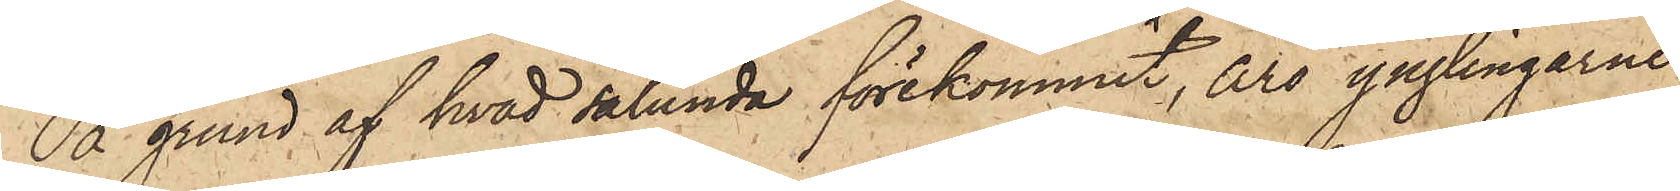På grund af hvad sålunda förekommit, äro ynglingarne
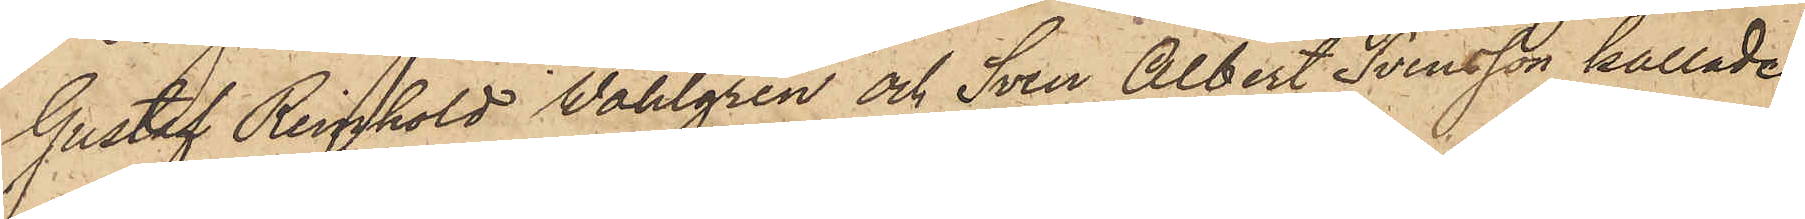Gustaf Reinhold Wahlgren och Sven Albert Svensson kallade
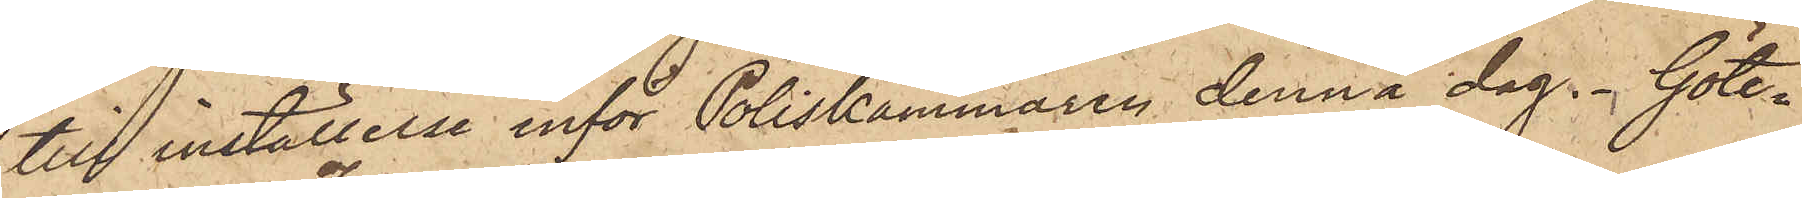till inställelse inför Poliskammaren denna dag. Göte¬
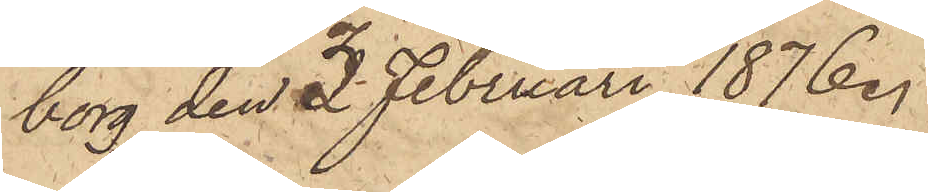borg den 3 Februari 1876.
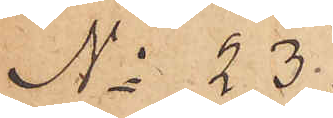No 23.
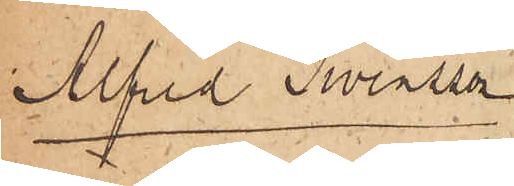Alfred Swensson
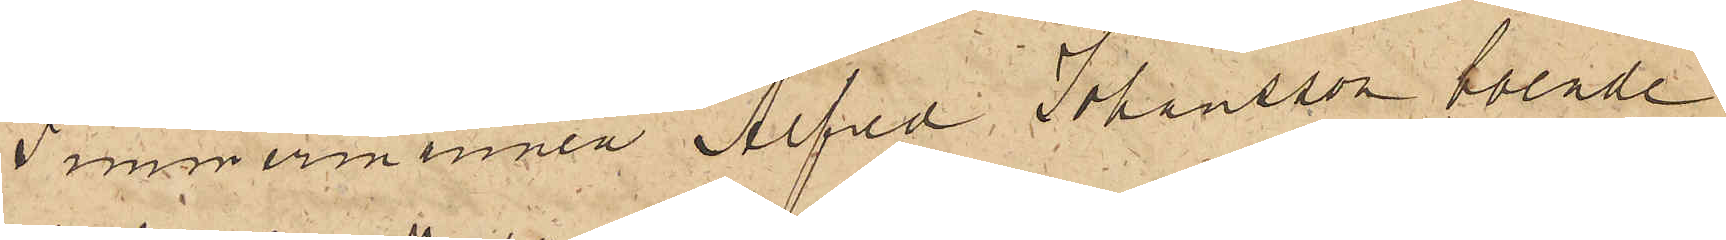Timmermannen Alfred Johansson boende
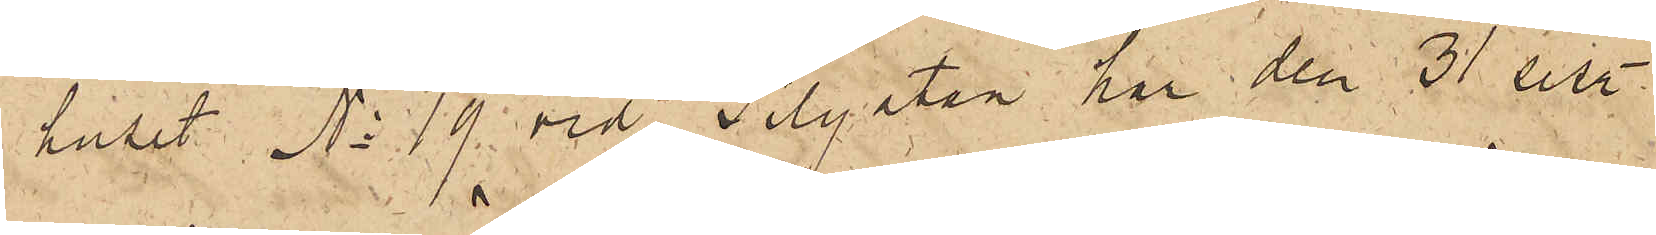i huset No 19 vid Sillgatan, har den 31 sist.
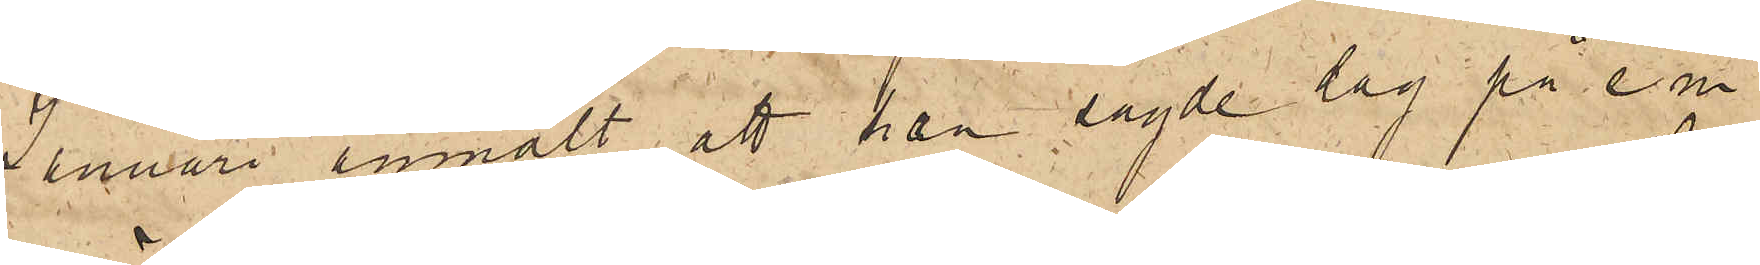Januari anmält, att han sagde dag på e.m.
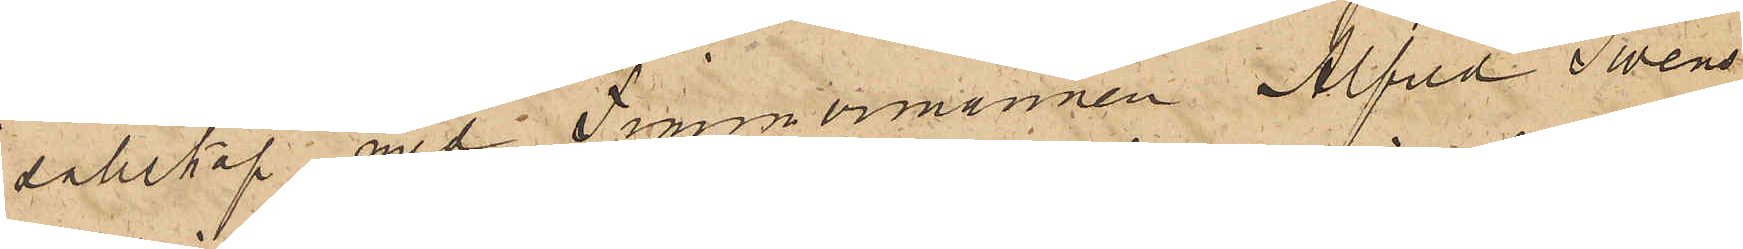i sällskap med Timmermannen Alfred Swens¬
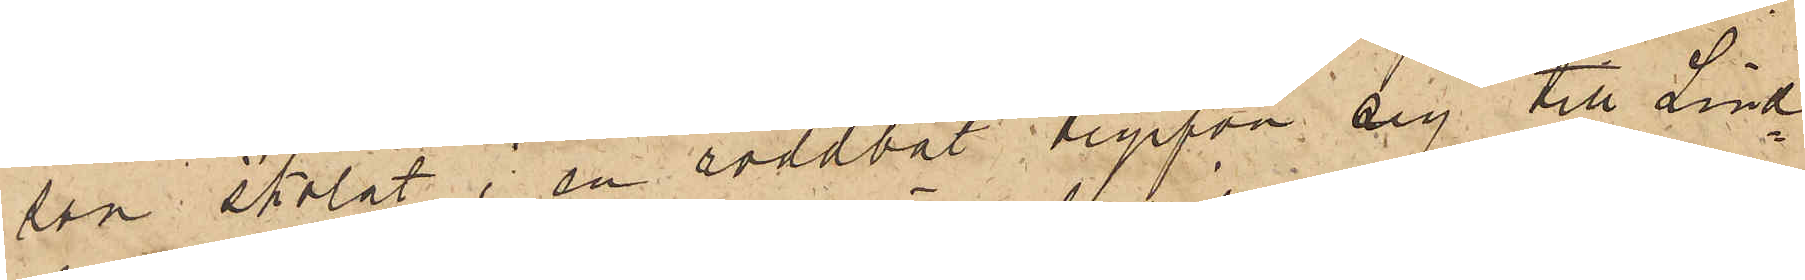son skolat i en roddbåt begifva sig till Lind¬
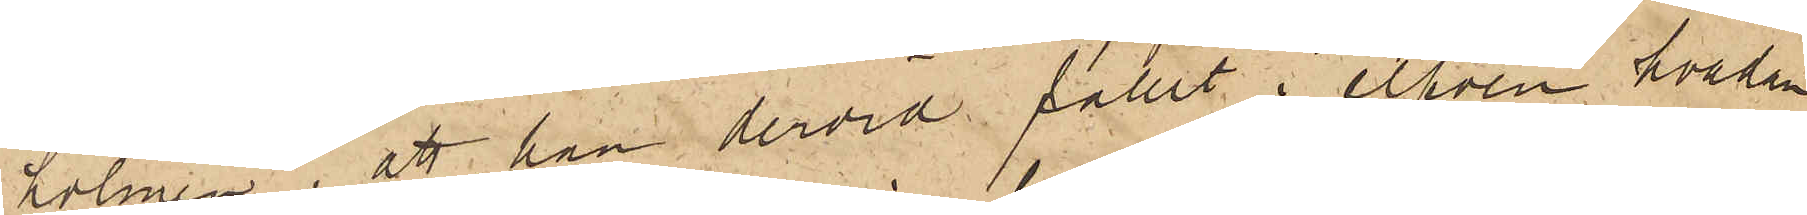holmen, att han dervid fallit i elfven hvadan
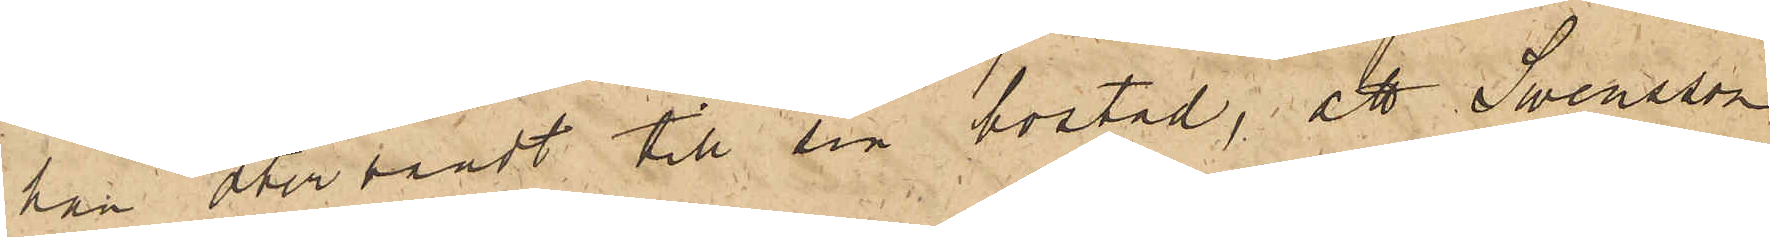han återvändt till sin bostad; att Swensson
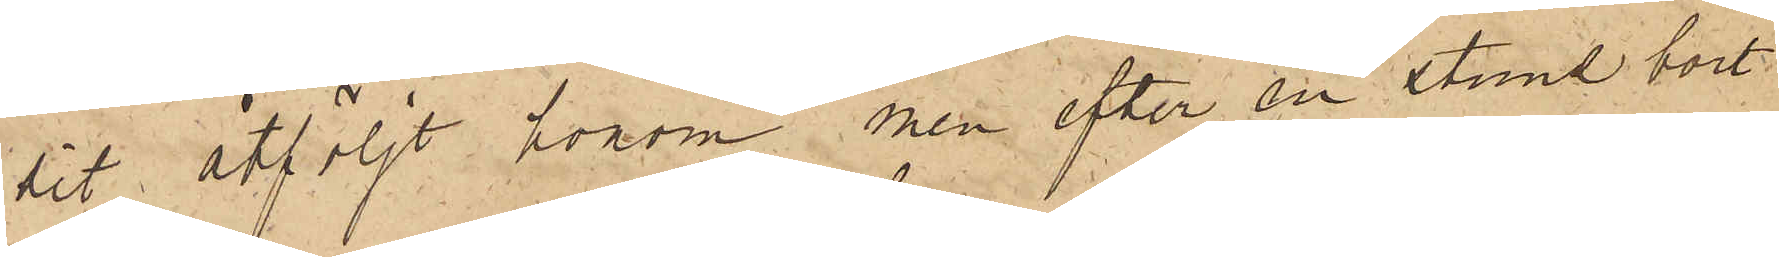dit åtföljt honom men efter en stund bort¬
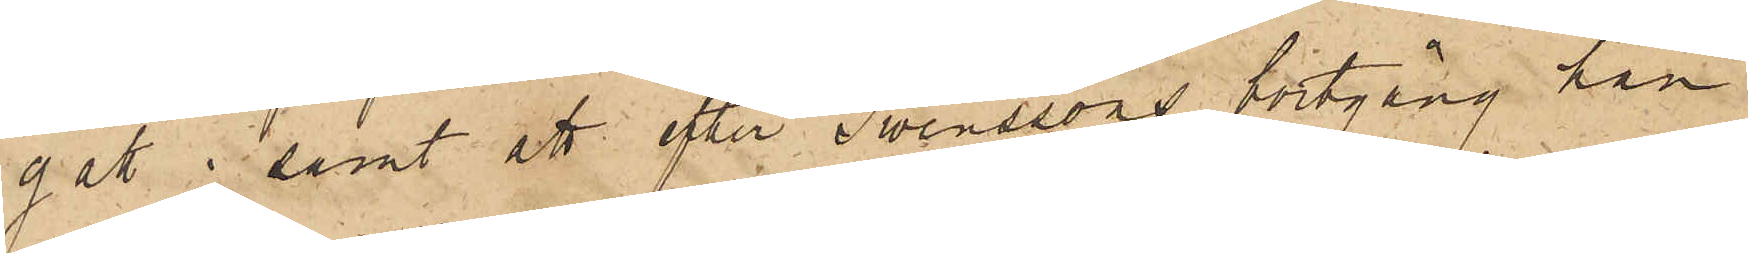gått; samt att efter Swenssons bortgång han
